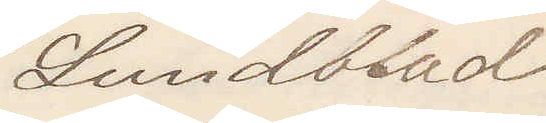Lundblad
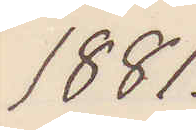1881.
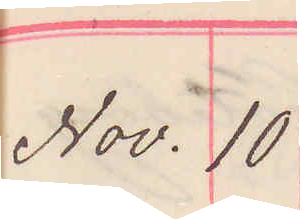Nov. 10
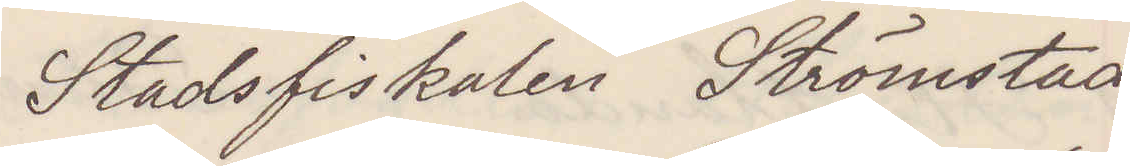Stadsfiskalen Strömstad
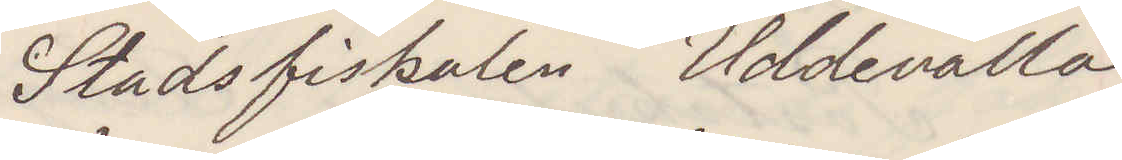Stadsfiskalen Uddevalla
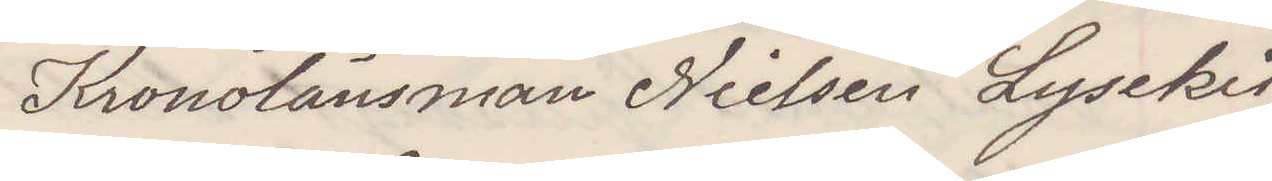Kronolänsman Nielsen Lysekil
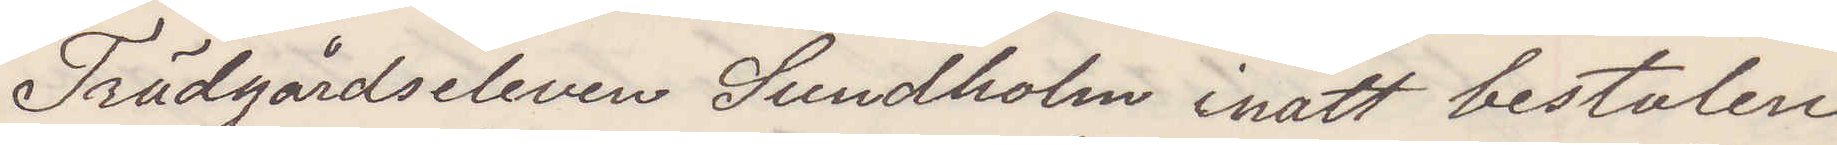Trädgårdseleven Sundholm inatt bestulen
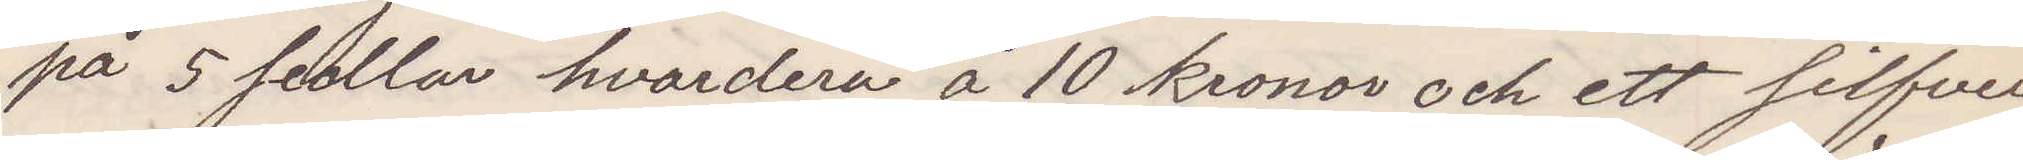på 5 sedlar hvardera å 10 kronor och ett silfver¬
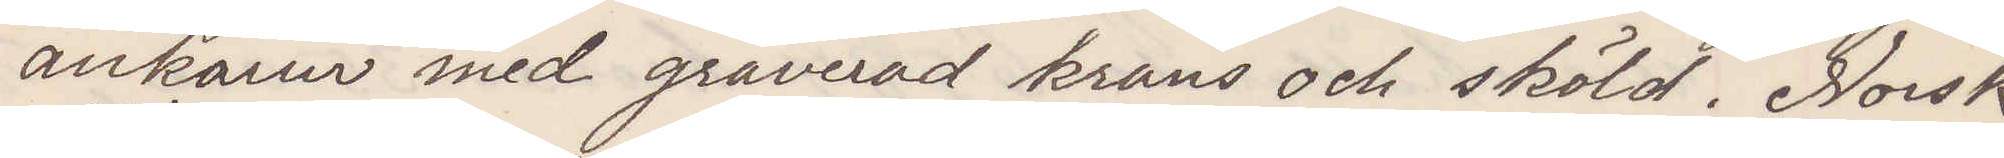ankarur med graverad krans och sköld. Norsk
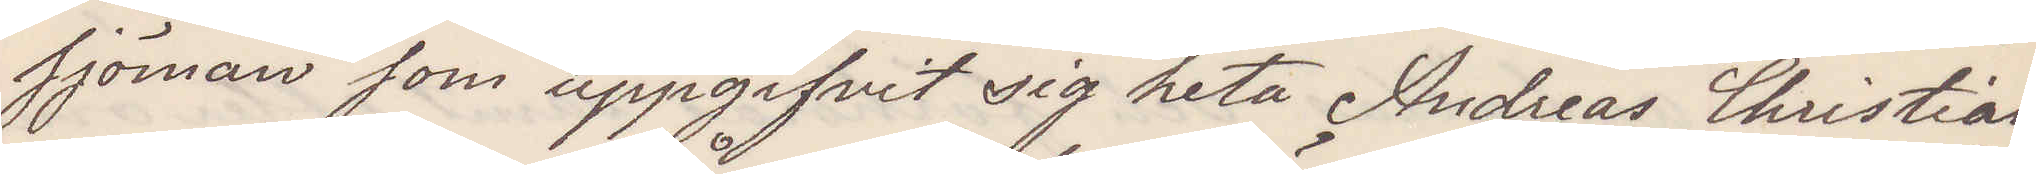sjöman som uppgifvit sig heta Andreas Christian¬
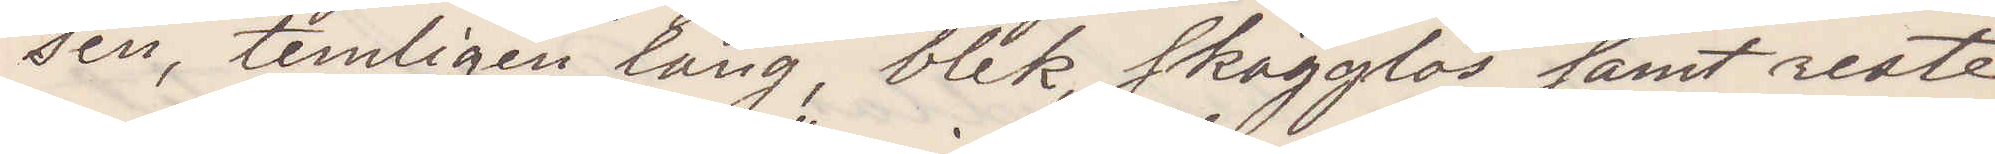sen, temligen lång, blek skägglös samt reste
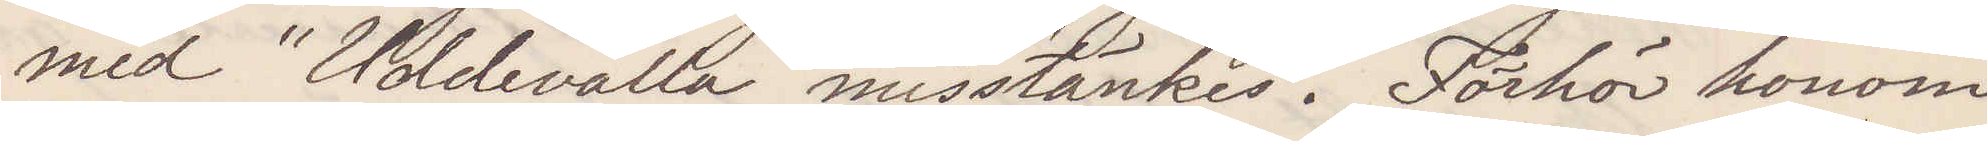med "Uddevalla" misstänkes. Förhör honom
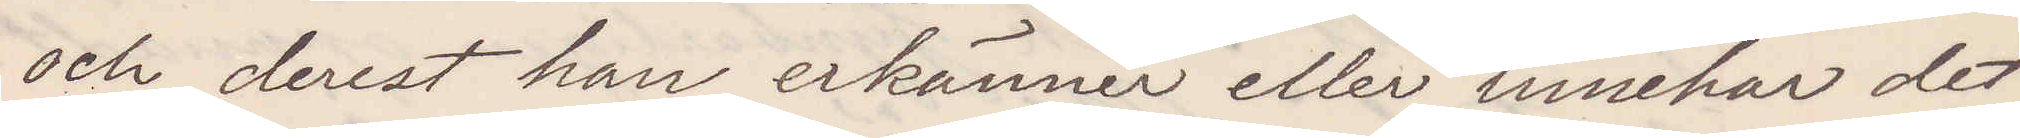och derest han erkänner eller innehar det
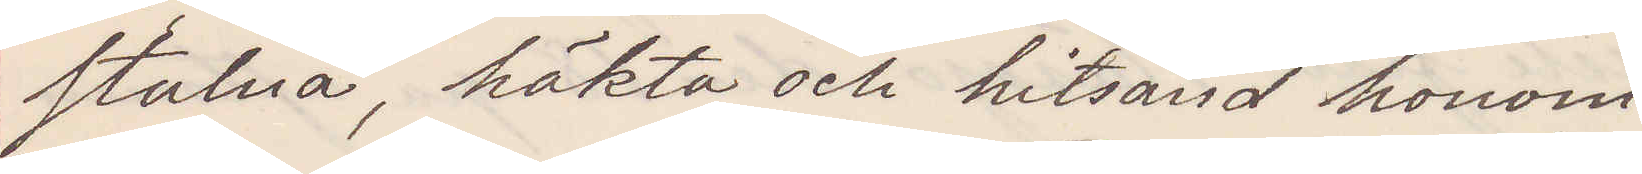stulna, häkta och hitsänd honom.
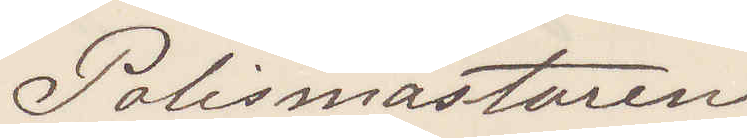Polismästaren
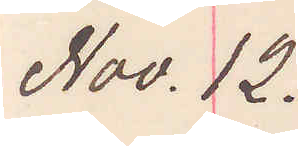Nov. 12.
